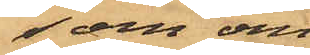som om
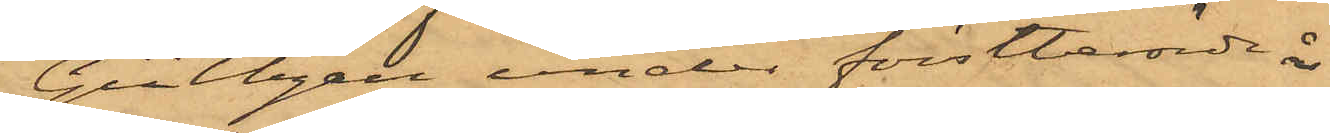Gültzau under förstberörde år
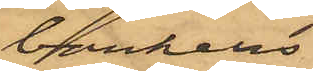bankens
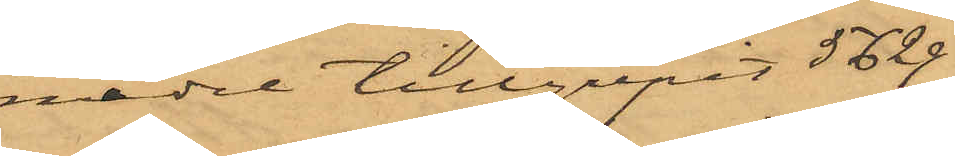medel tillgripit 5629
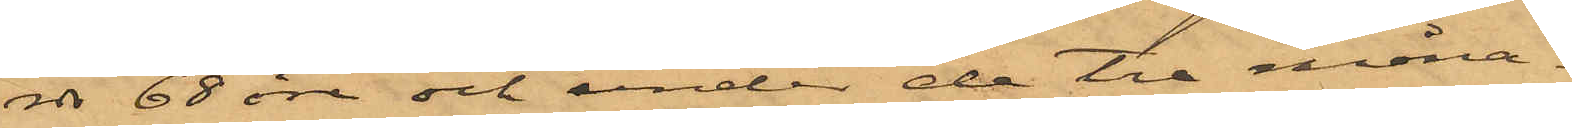rdr 68 öre och under de tre måna¬
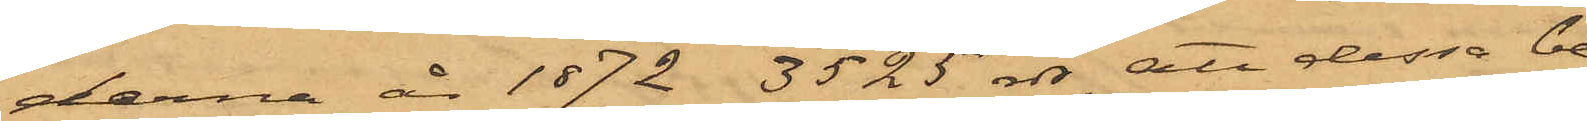derna år 1872 3525 rdr, att dessa be¬
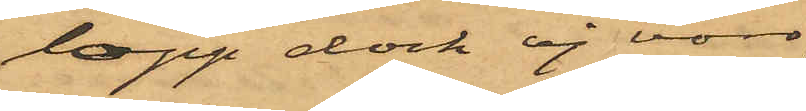lopp dock ej voro
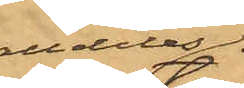alldeles
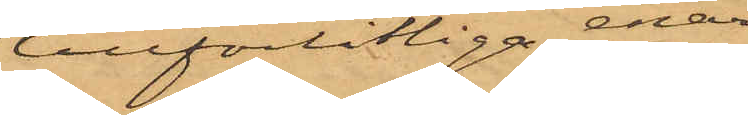tillförlitliga, enär
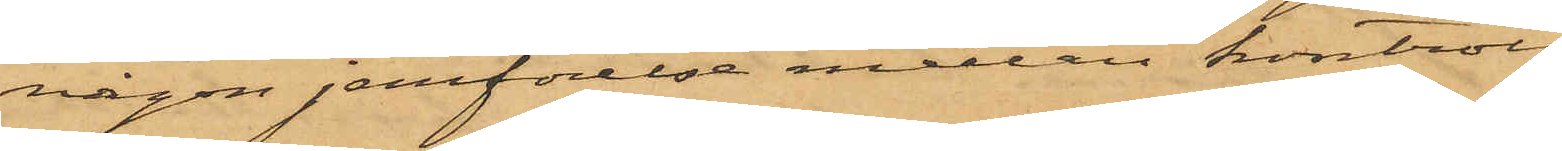någon jemförelse mellan kontroll¬
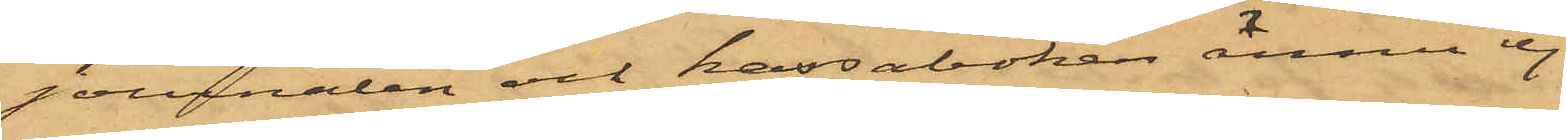journalen och kassaboken ännu ej
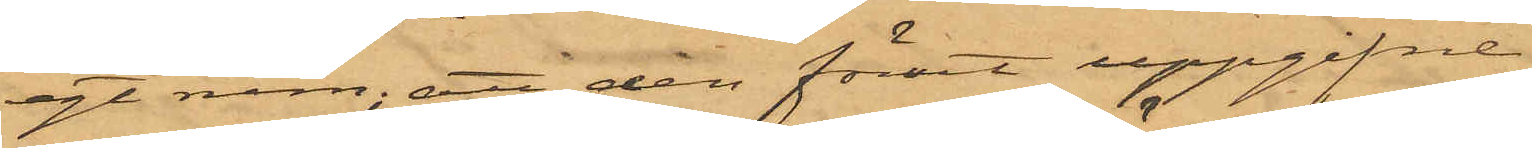egt rum; att den förut uppgifne
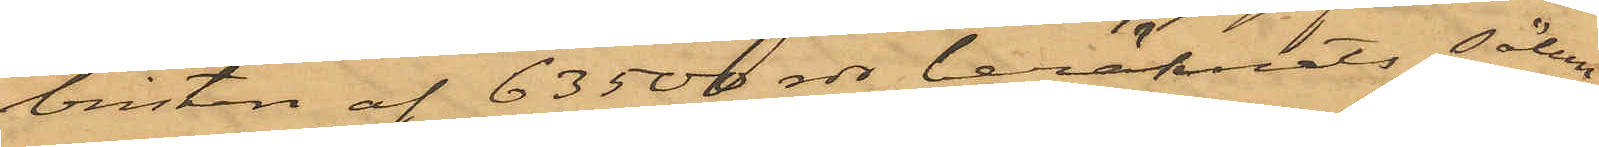bristen af 63500 rdr beräknats sålun¬
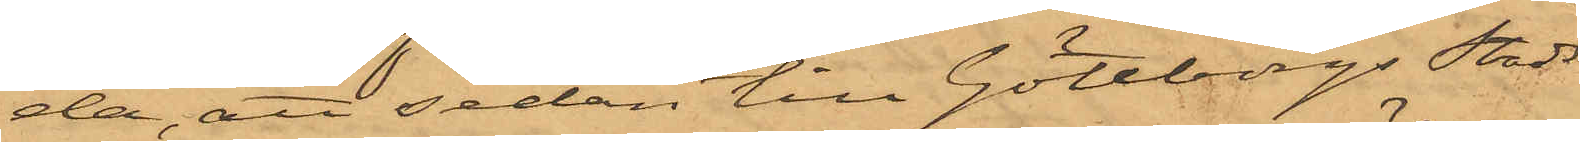da, att sedan till Göteborgs Stads
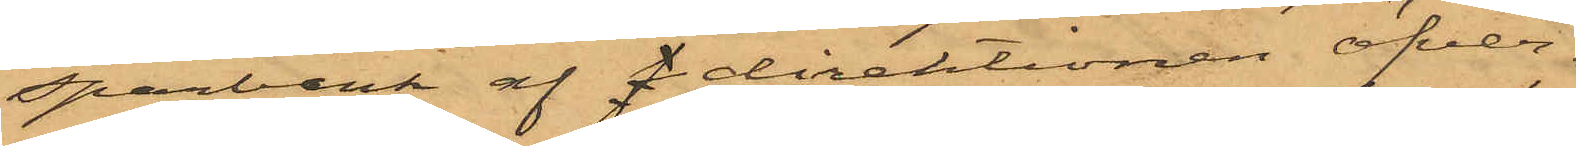Sparbank af direktionen öfver¬
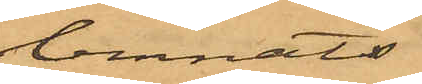lemnats
